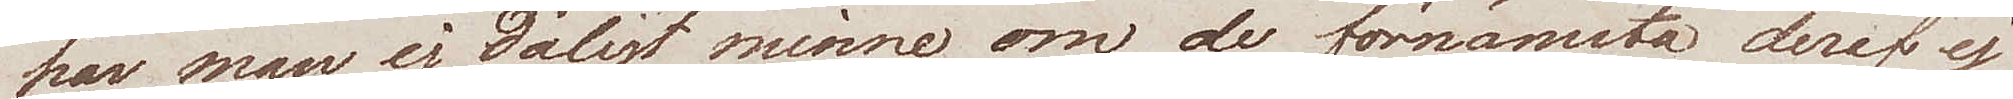har man ej dåligt minne, om de förnämsta deraf ej
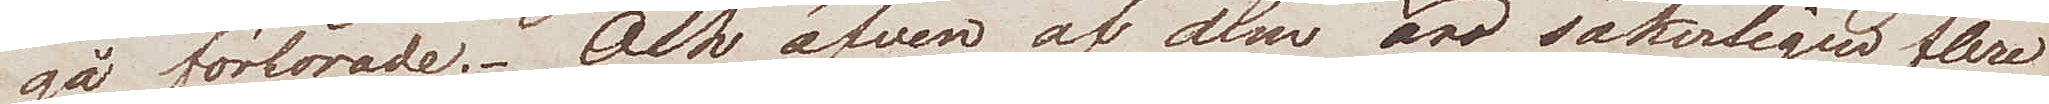gå förlorade. Och äfven af dem äro säkerligen flere
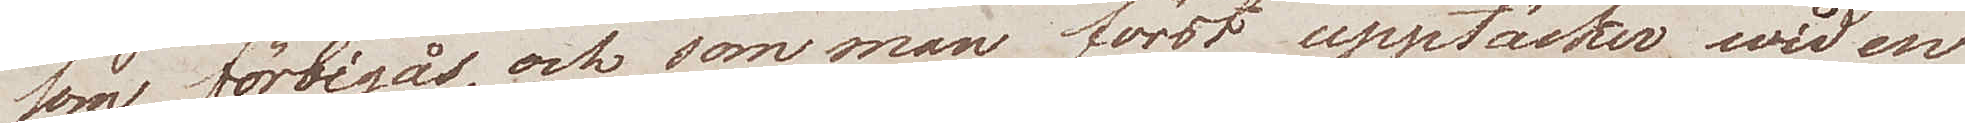som förbigås, och som man först upptäcker wid en
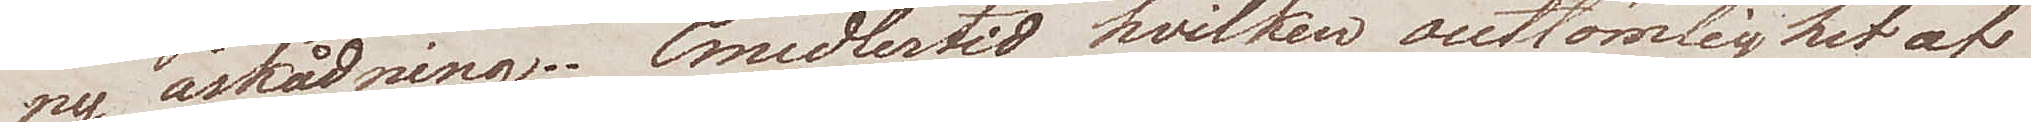ny åskådning. Emedlertid hvilken outtömlighet af
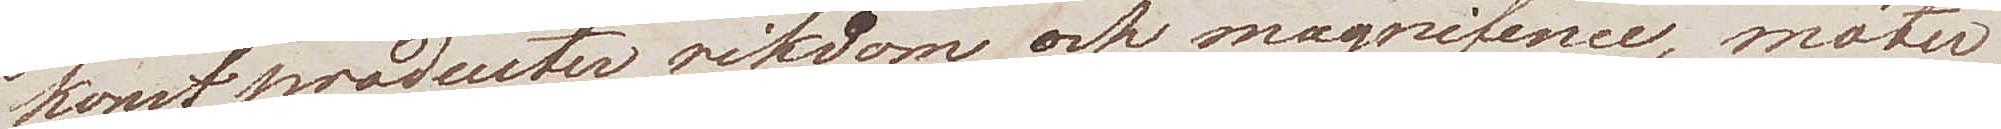konstproducter rikdom och magnifence, möter
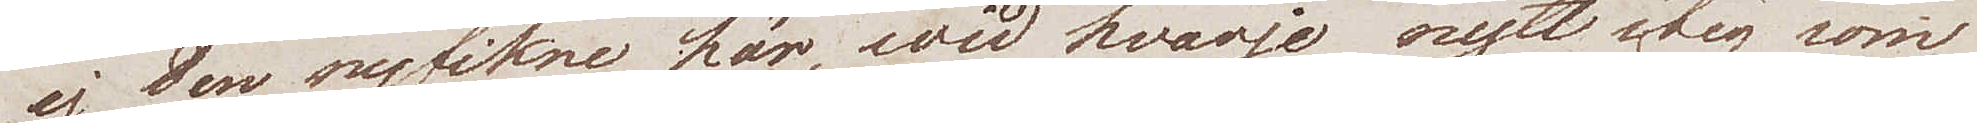ej den nyfikne här, wid hvarje nytt steg som
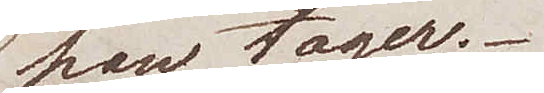han tager.
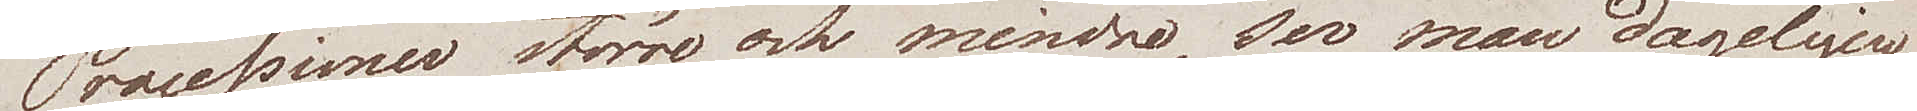Processioner större och mindre, ser man dageligen
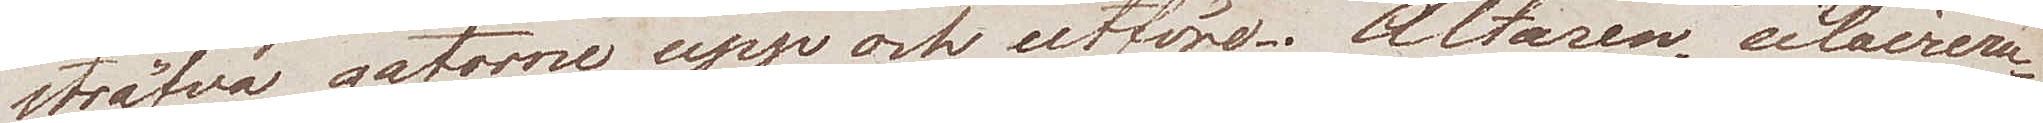sträfva gatorne upp och utföre. Altaren, eclairera¬
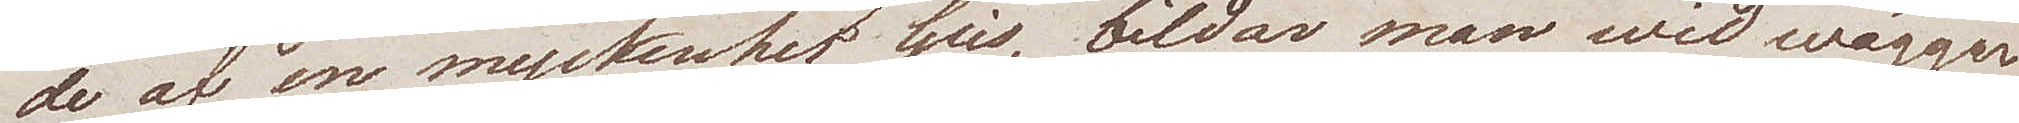de af en myckenhet ljus, bildar man wid wäggar¬
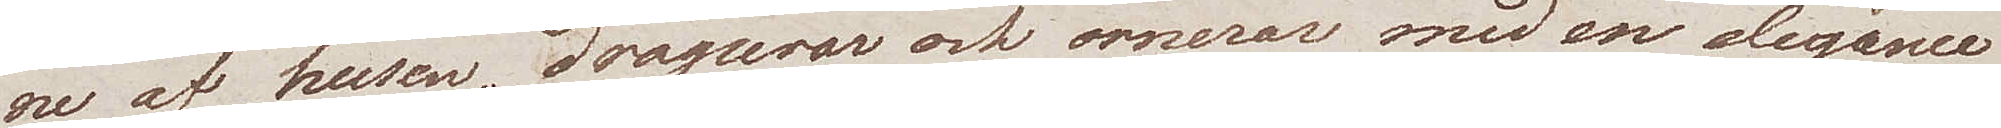ne af husen, draperar och ornerar med en elegance
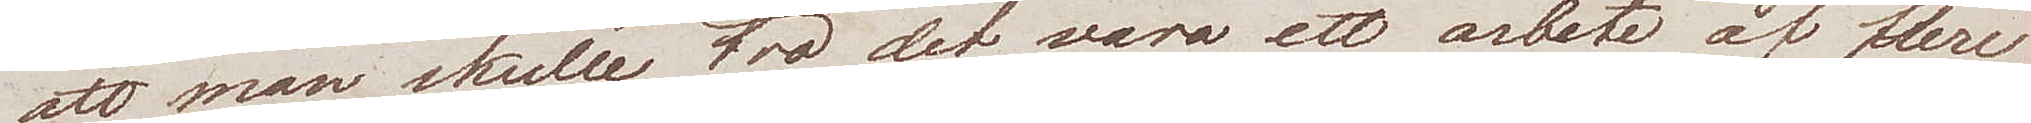att man skulle tro det vara ett arbete af flere
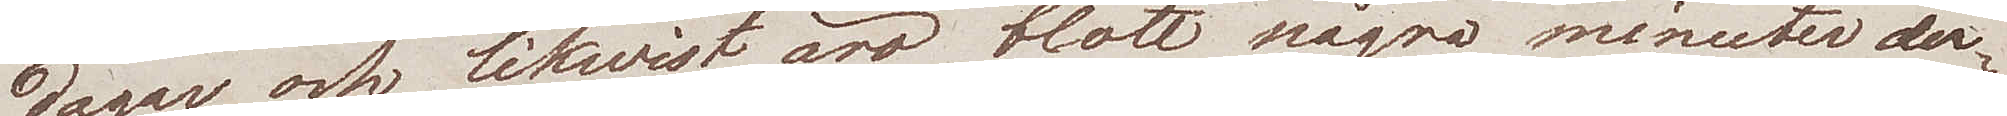dagar, och likwist äro blott några minuter der¬
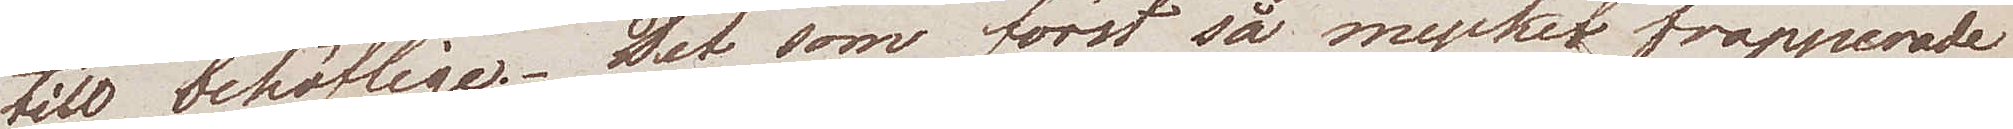till behöflige. Det som först så mycket frapperade
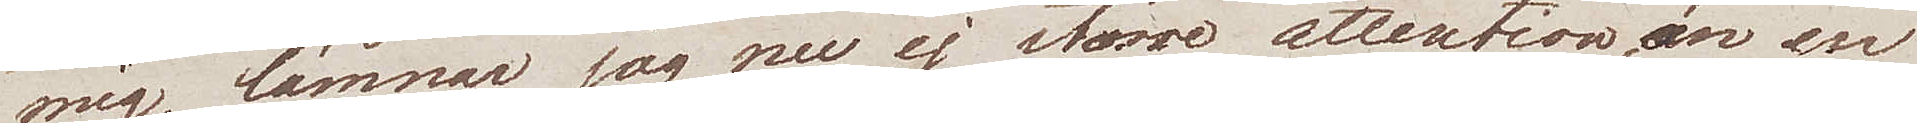mig, lämnar jag nu ej större attention, än en
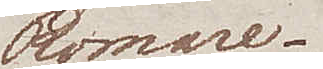Romare.
